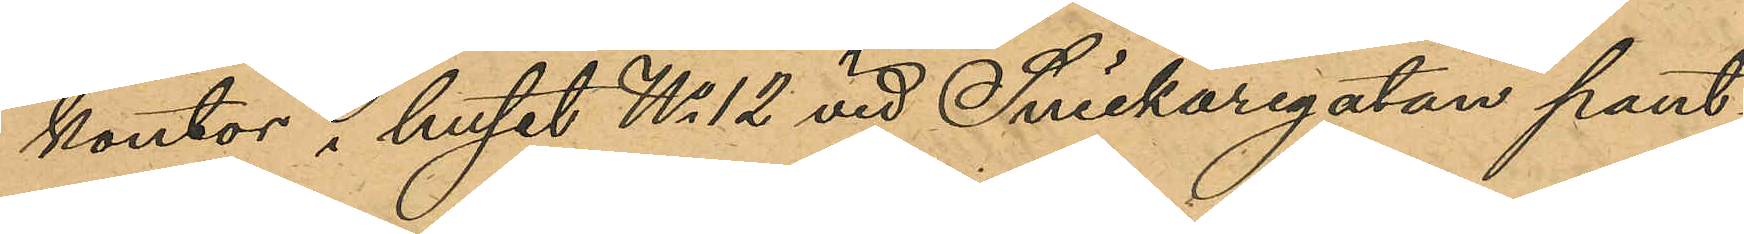kontor i huset No 12 vid Snickaregatan pant¬
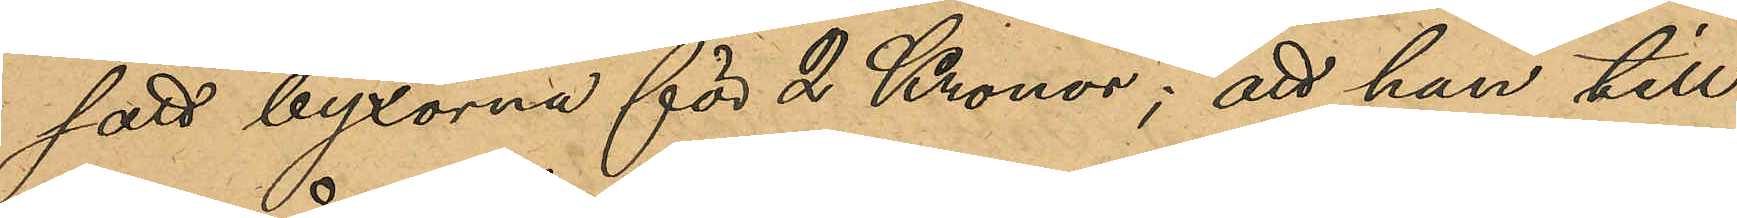satt byxorna för 2 Kronor; att han till
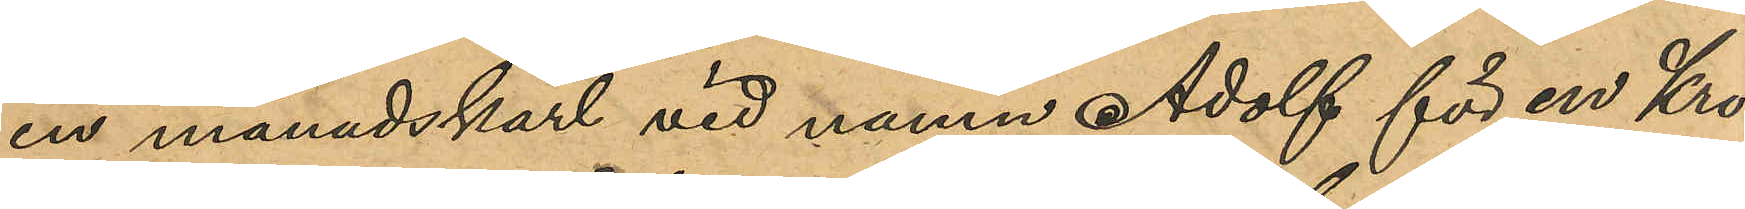en månadskarl vid namn Adolf för en Kro¬
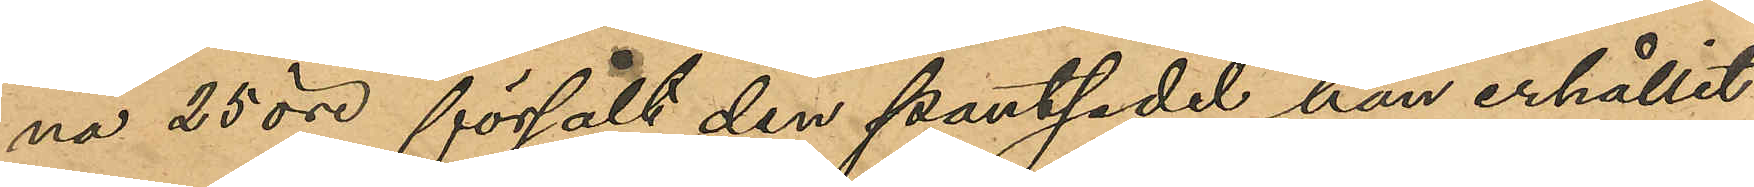na 25 öre försåldt den pantsedel han erhållit
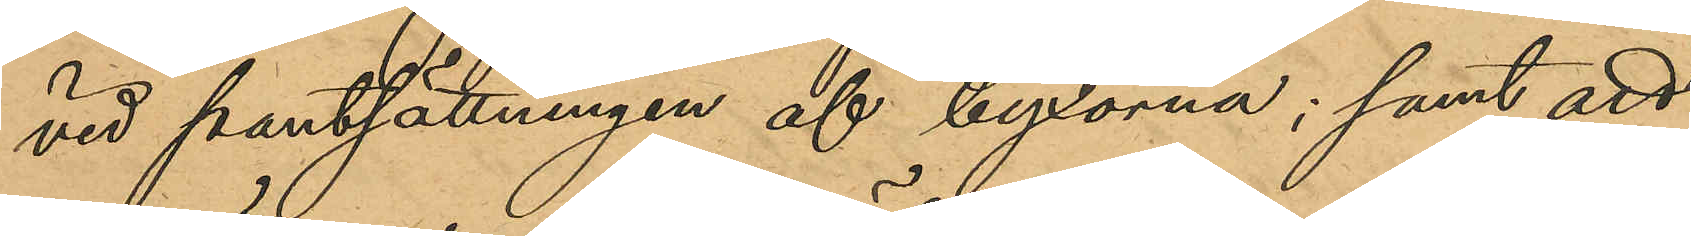vid pantsättningen af byxorna; samt att
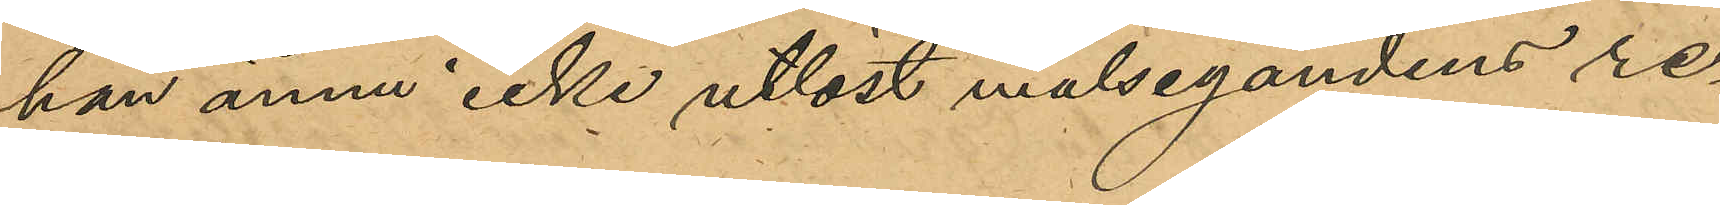han ännu icke utlöst målsegandens re¬
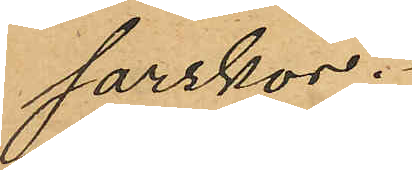sarskor.
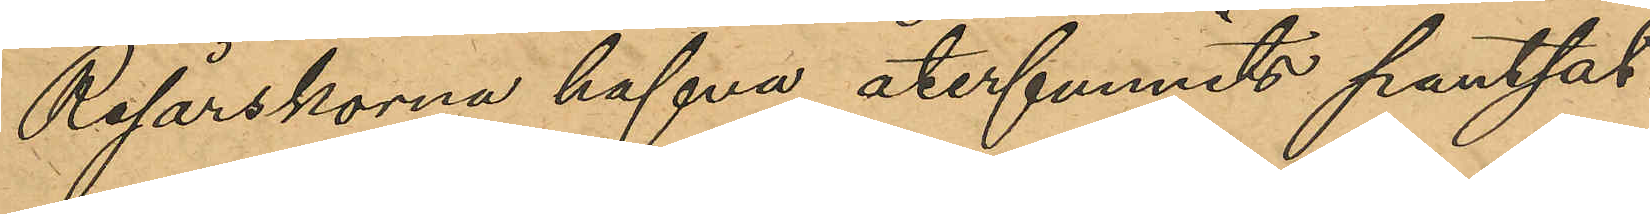Resårskorna hafva återfunnits pantsat¬
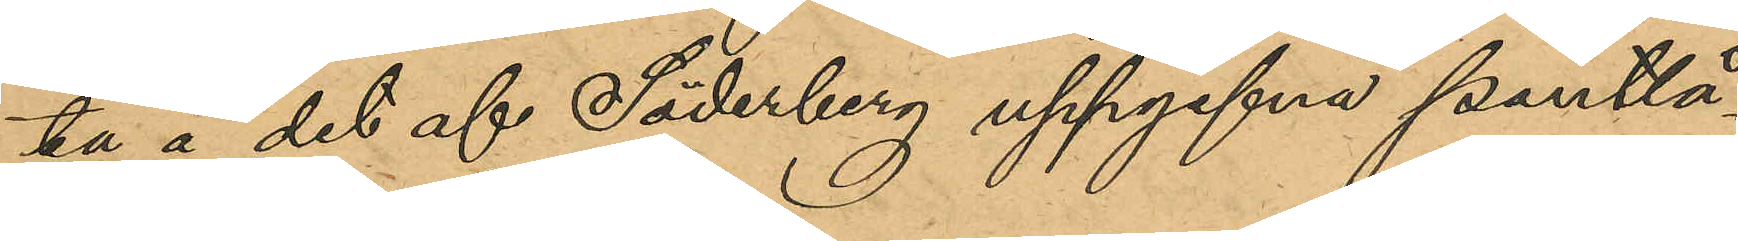ta å det af Söderberg uppgifna Pantlå¬
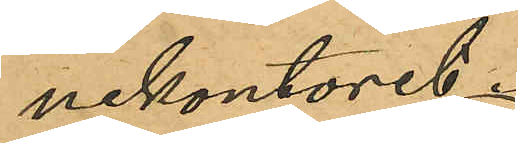nekontoret.
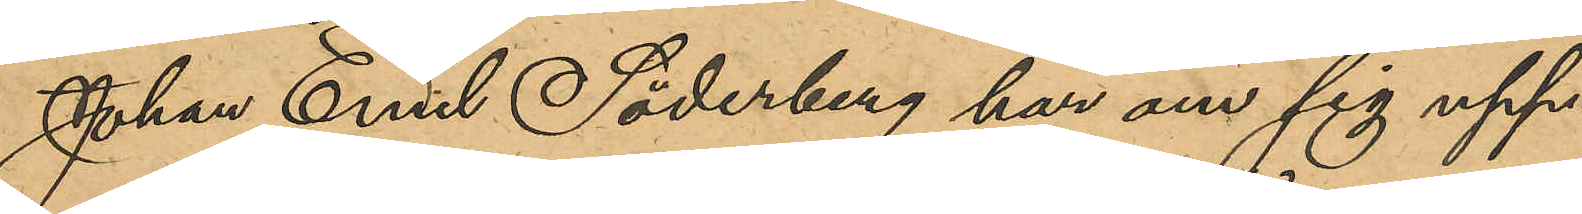Johan Emil Söderberg har om sig upp¬
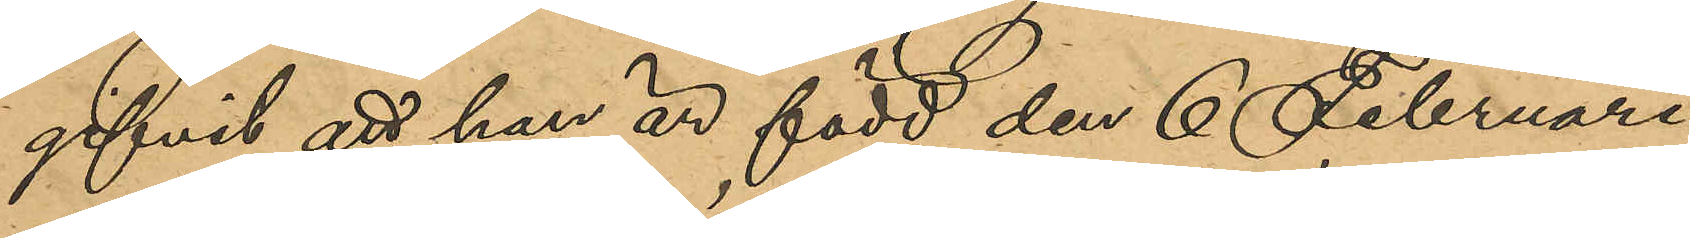gifvit att han är född den 6 Februari
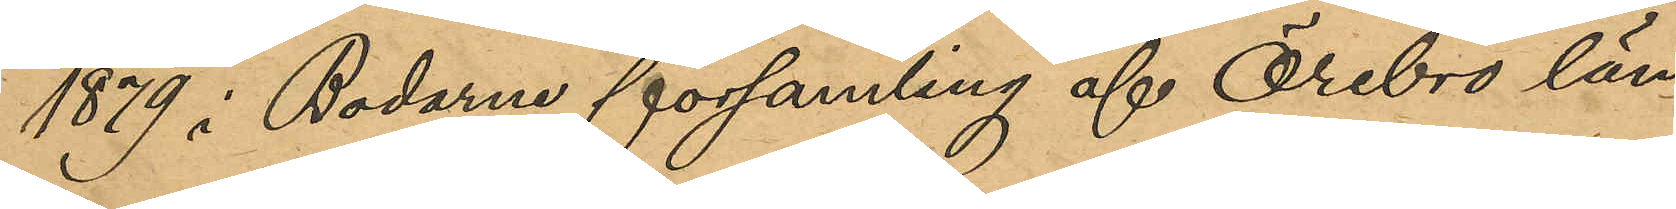1879 i Bodarne församling af Örebro län
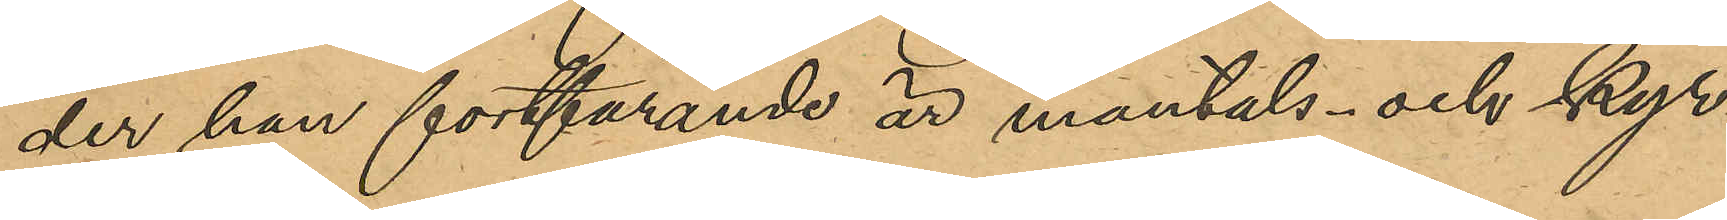der han fortfarande är mantals- och kyr¬
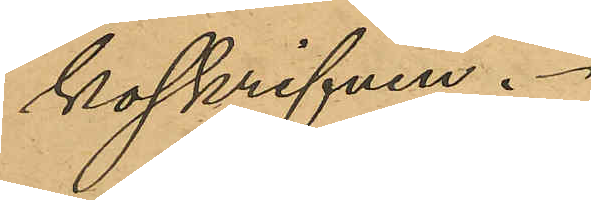koskrifven.
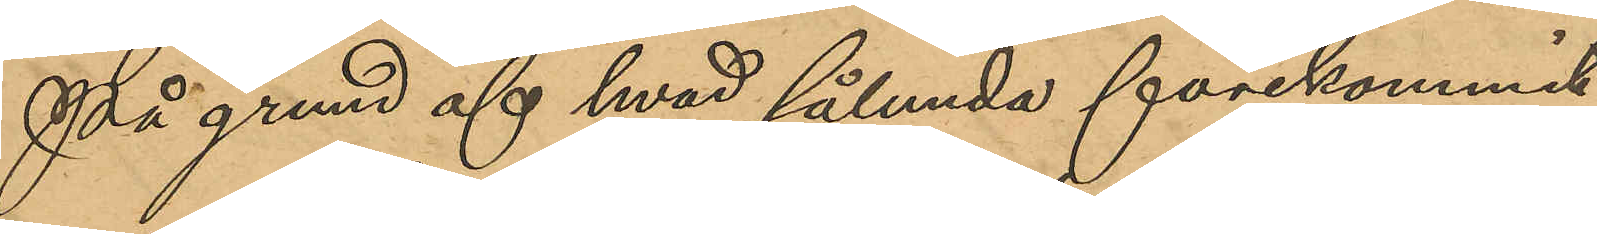På grund af hvad som sålunda förekommit
